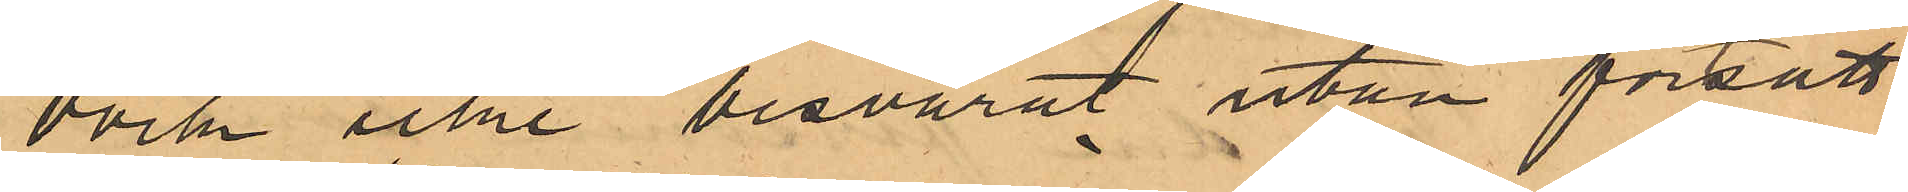dock icke besvarat utan fortsatt
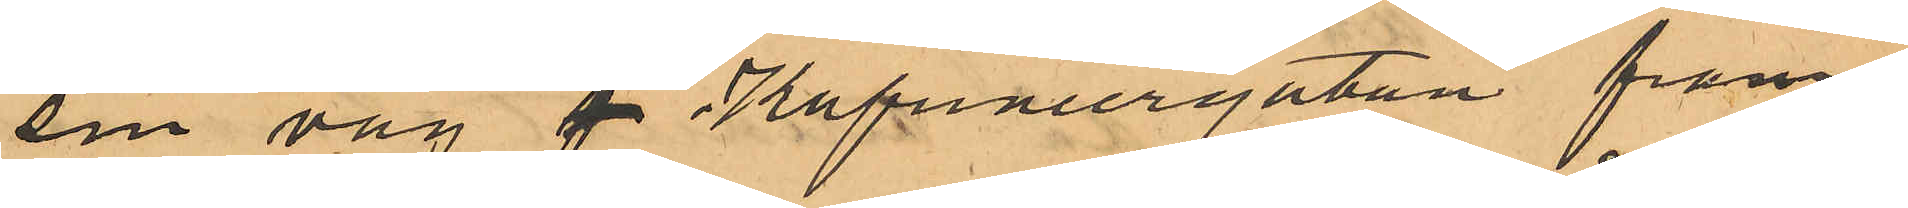sin väg på Kapuniergatan fram;
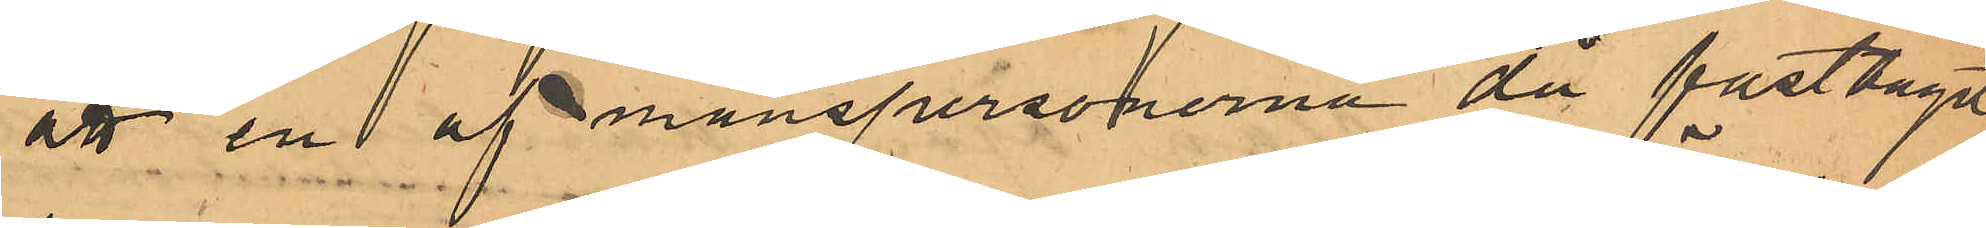att en af manspersonerna då fasttagit
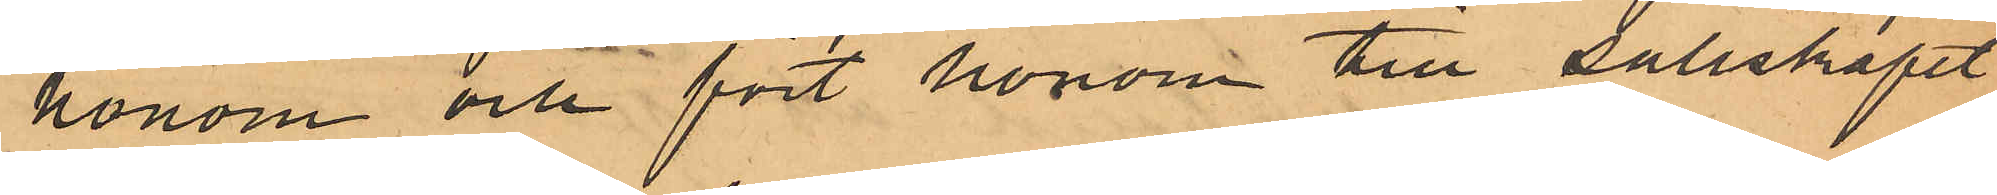honom och fört honom till sällskapet
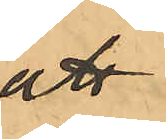att
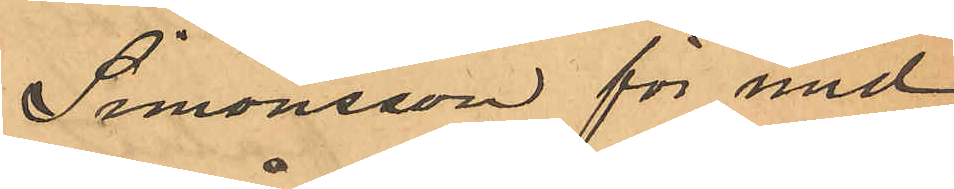Simonsson för med und¬
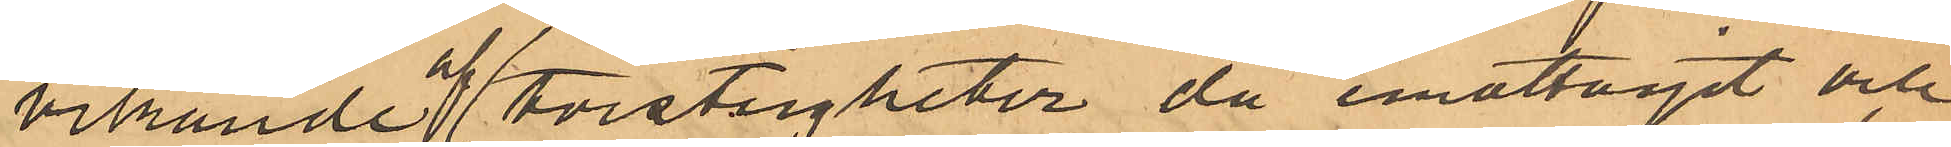vikande af tvistigheter, då emottagit och
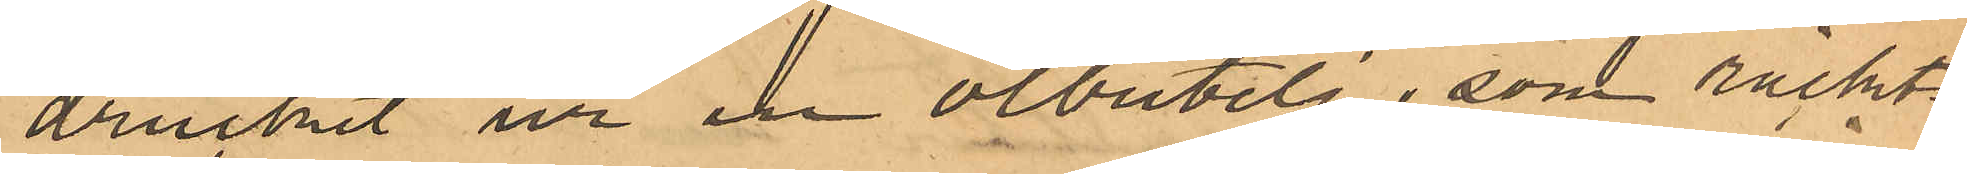druckit ur en ölbutelj, som räckts
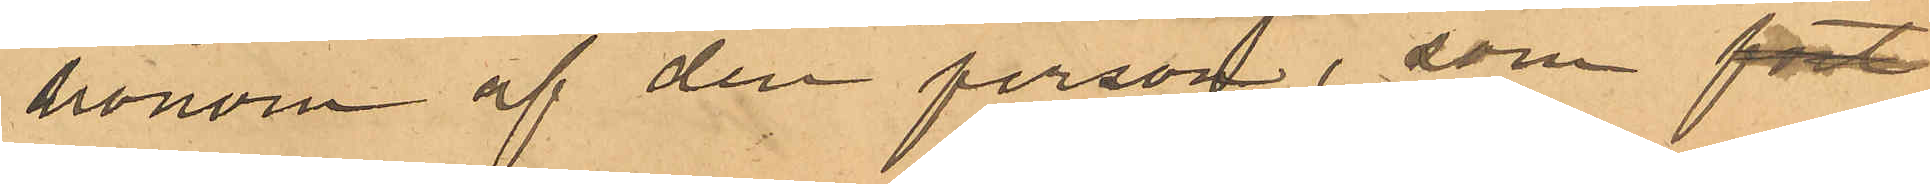honom af den person, som fört
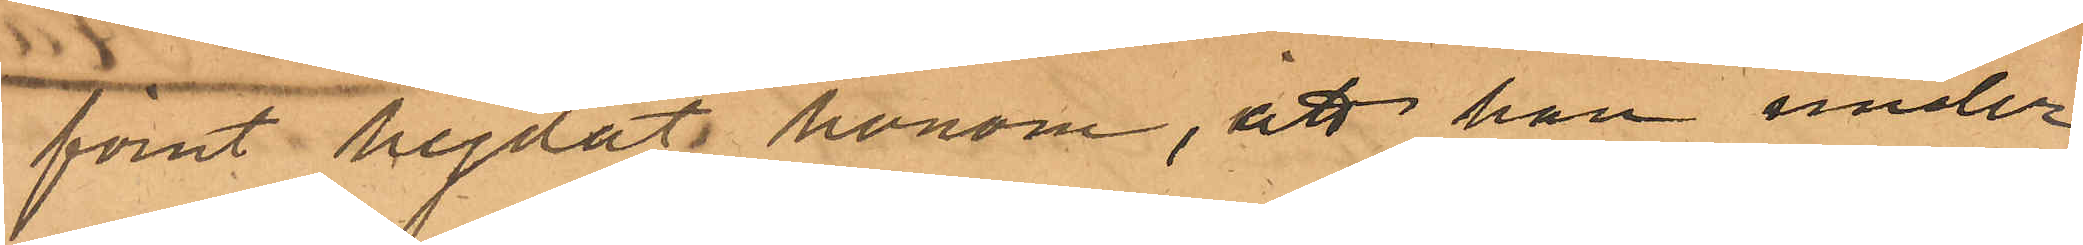förut hejdat honom, att han under
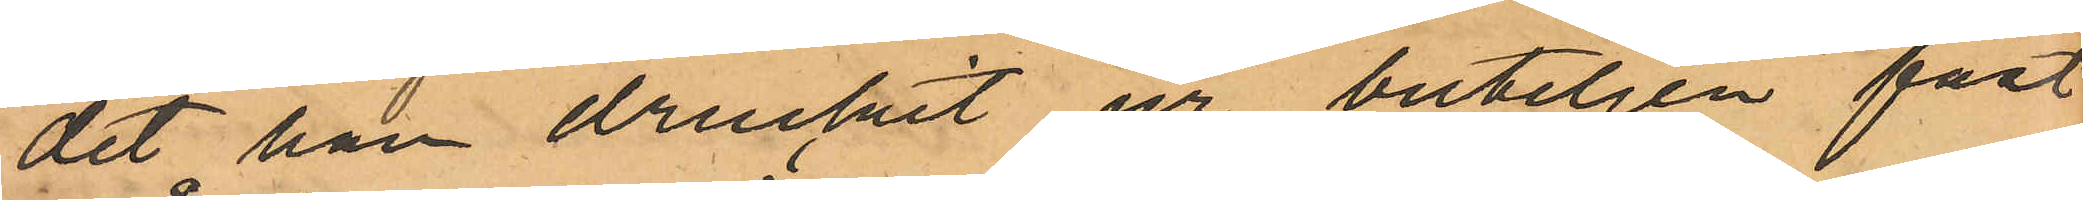det han druckit ur buteljen fast¬
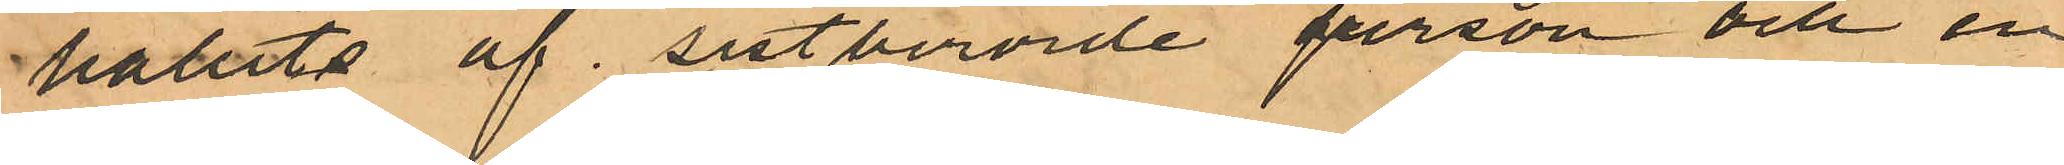hållits af sistberörde person och en
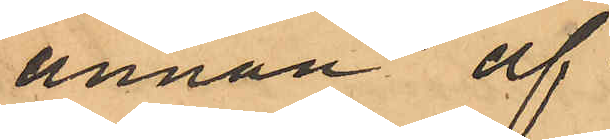annan af
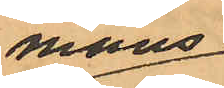mans¬
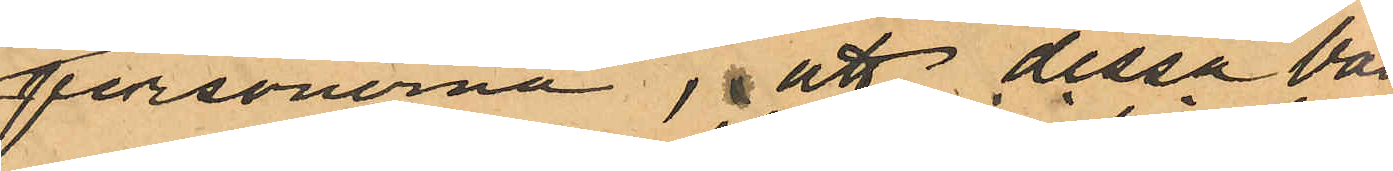personerna, att dessa båda
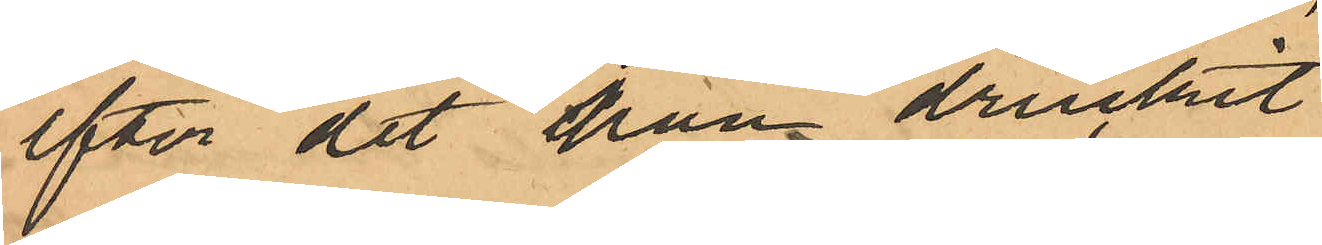efter det han druckit
